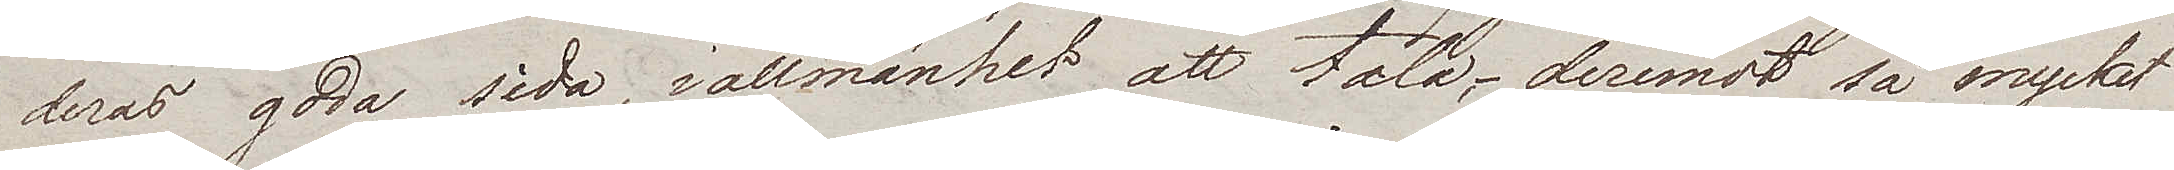deras goda sida, i allmänhet att tala, – deremot så mycket
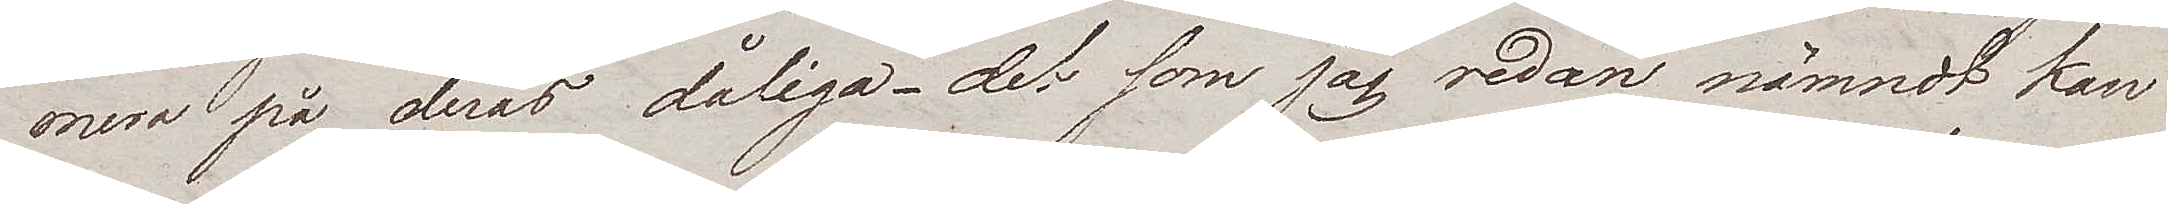mera på deras dåliga – det som jag redan nämndt kan
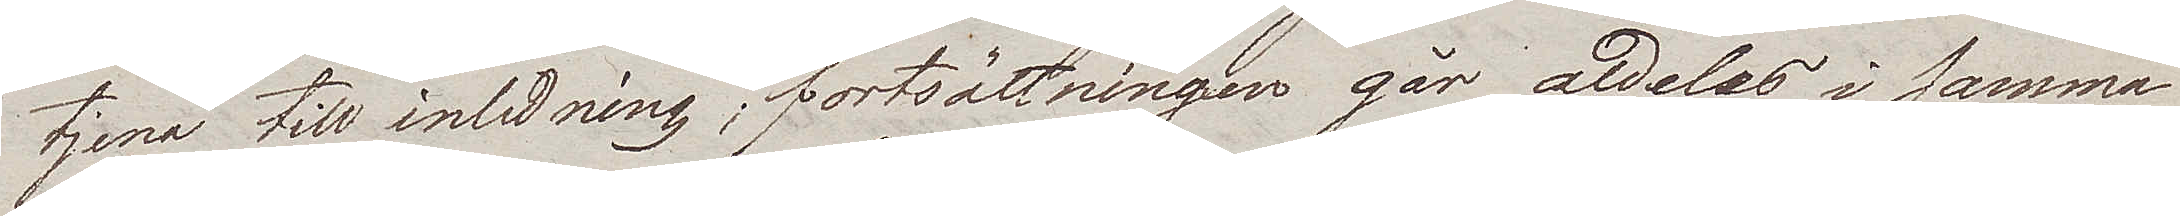tjena till inledning; fortsättningen går aldeles i samma
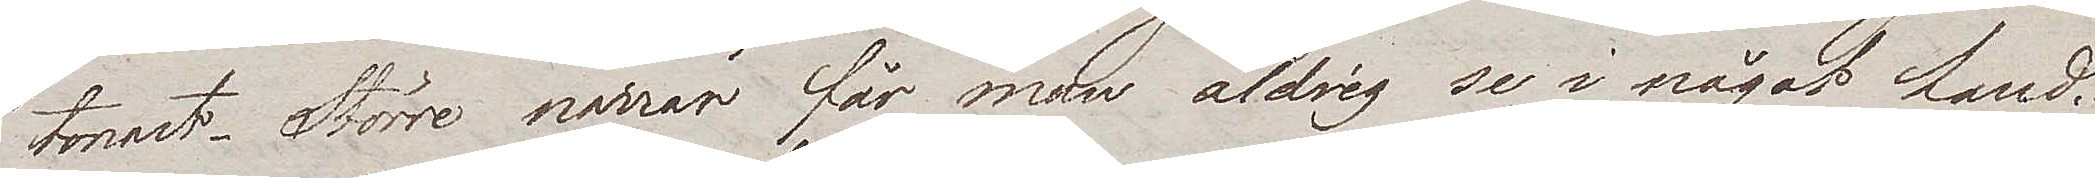tonart. Större narrar får man aldrig se i något land.
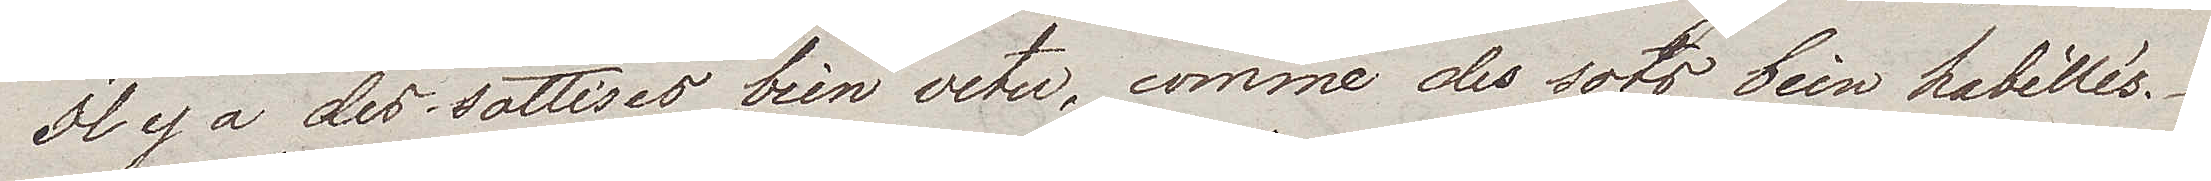Il y a des sottises bien vetu, comme des sots bien habillés.
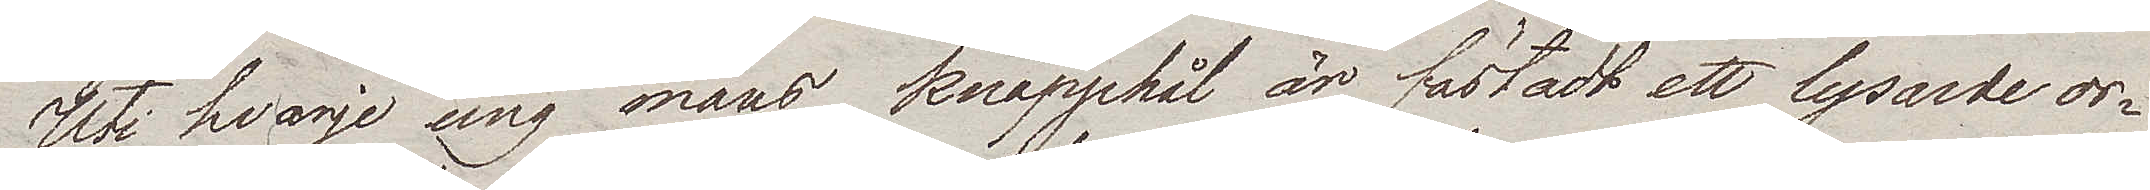Uti hvarje ung mans knapphål är fästadt ett lysande or¬
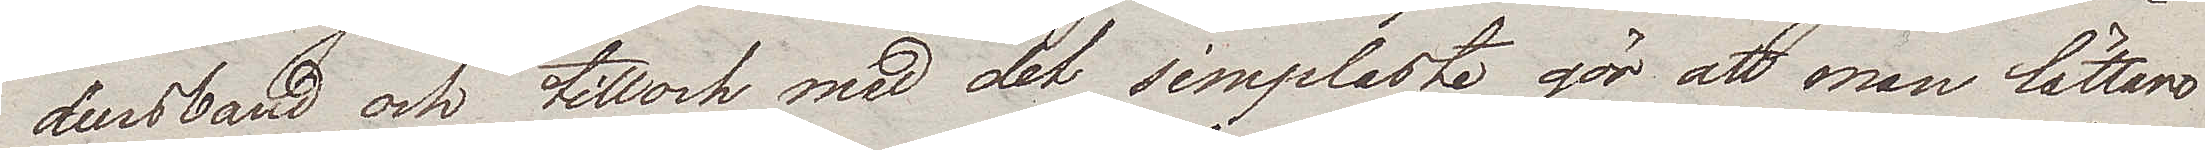densband och tilloch med det simplaste gör att man lättare
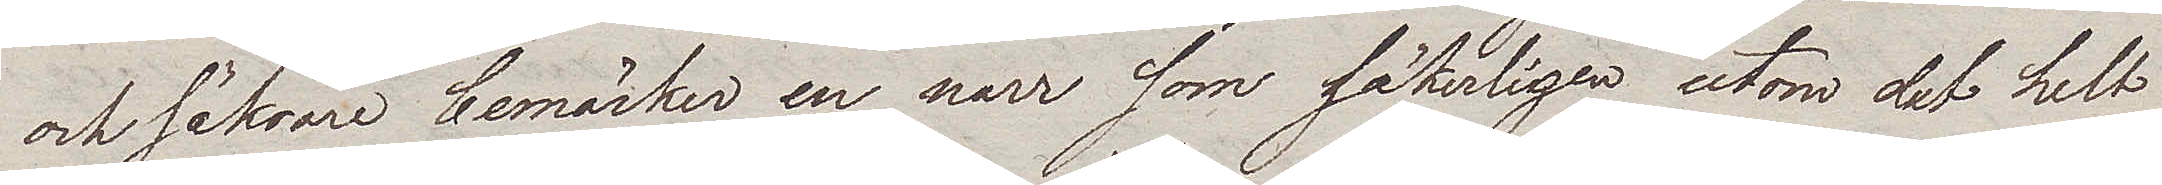och säkrare bemärker en narr som säkerligen utom det helt
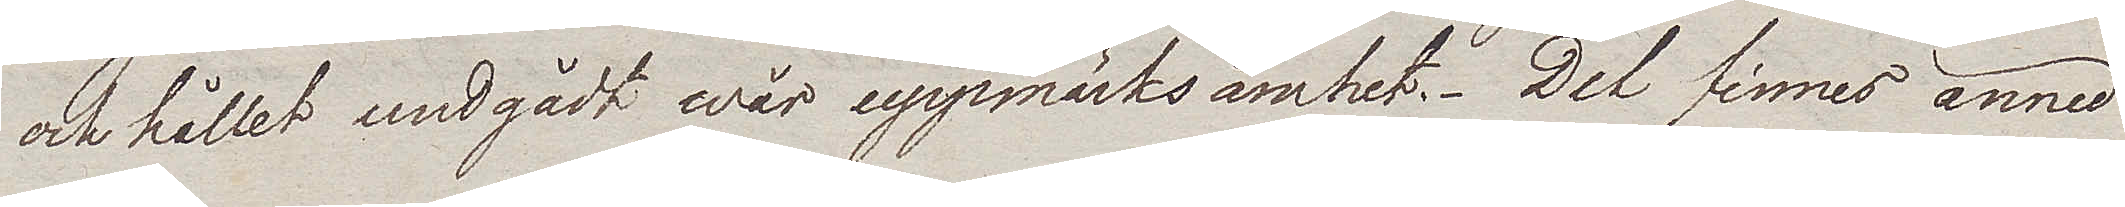och hållet undgådt wår uppmärksamhet. Det finnes ännu
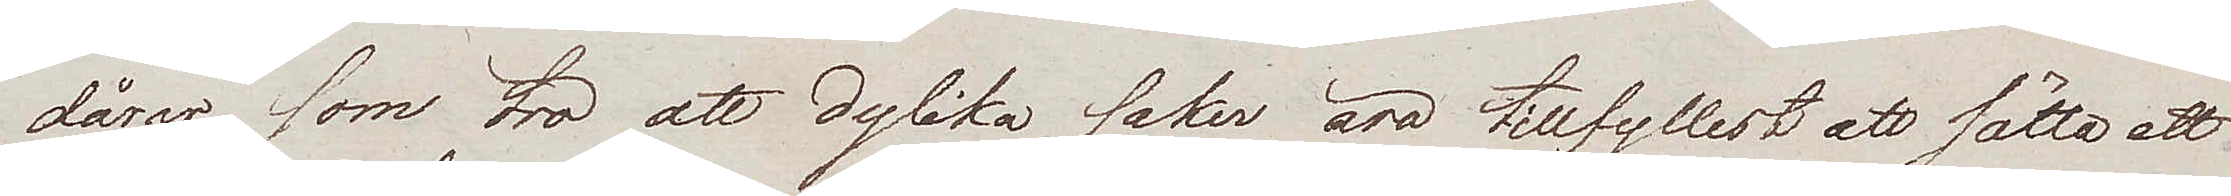dårar som tro att dylika saker äro tillfyllest att sätta ett
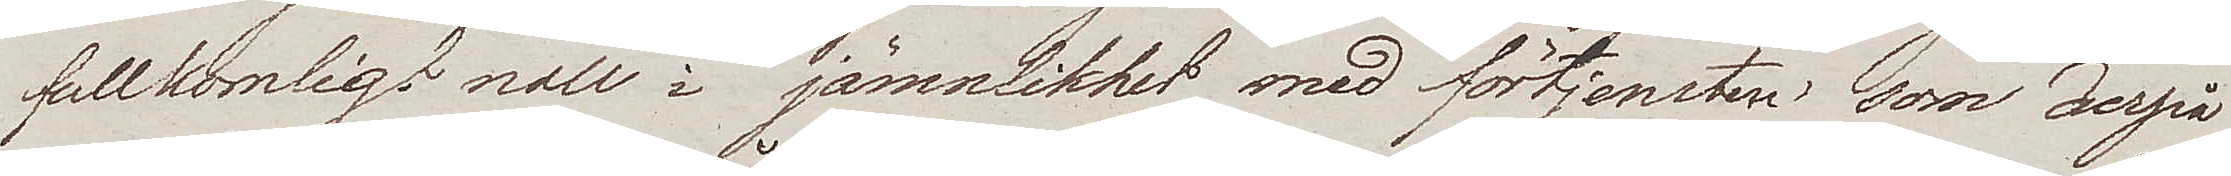fullkomlig noll i jämnlikhet med förtjensten, som derpå
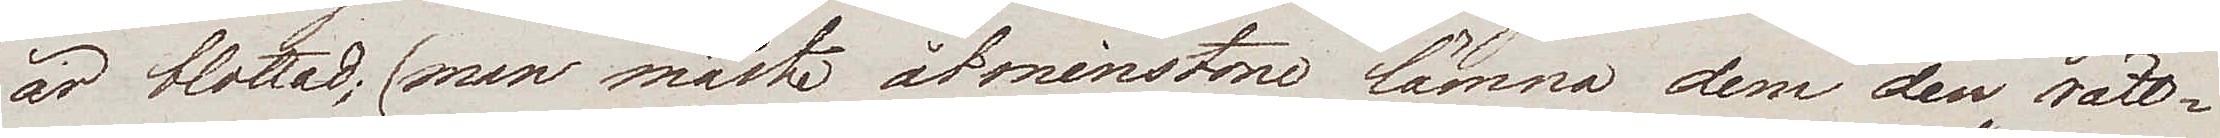är blottad; (man måste åtminstone lämna dem den rätt¬
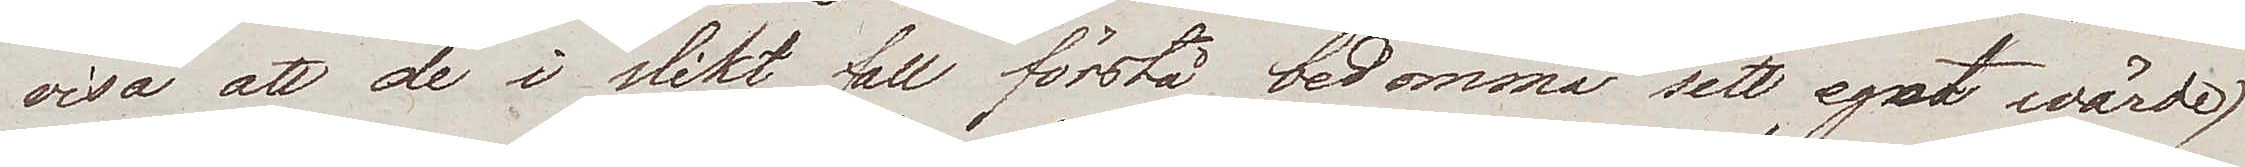visa att de i slikt fall förstå bedömma sitt eget wärde)
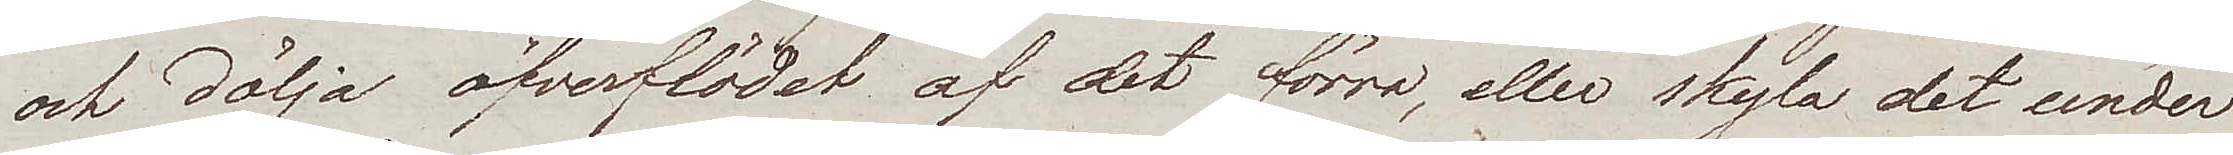och dölja öfverflödet af det förra, eller skyla det under
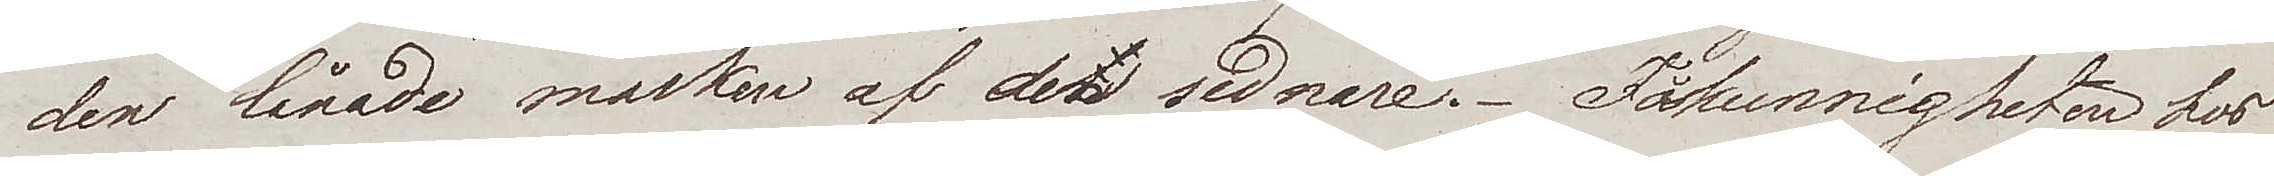den lånade masken af det sednare. Fåkunnigheten hos
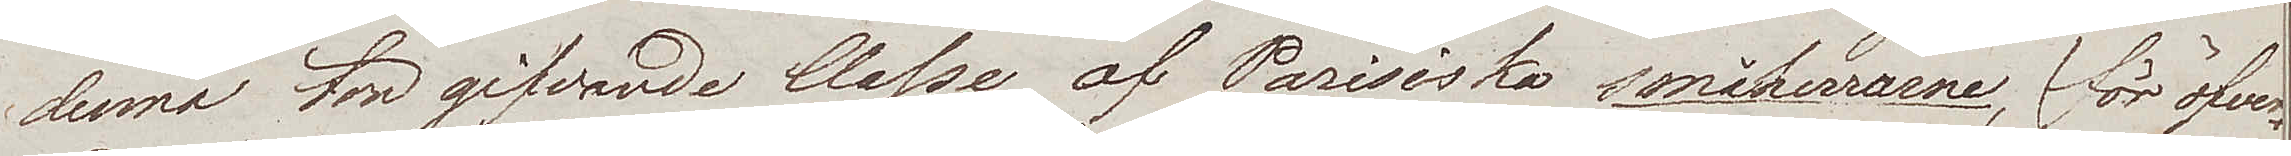denna tongifvande Classe af Parisiska småherrarne, (för öfver¬
